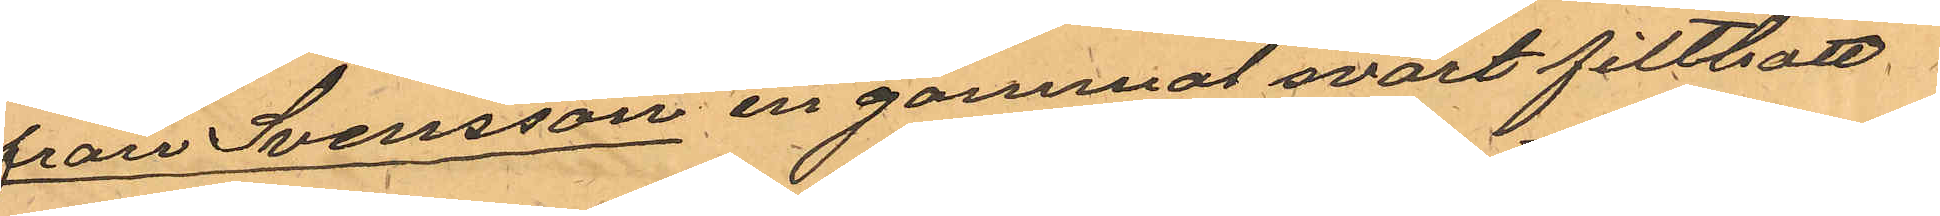från Svensson en gammal svart filthatt
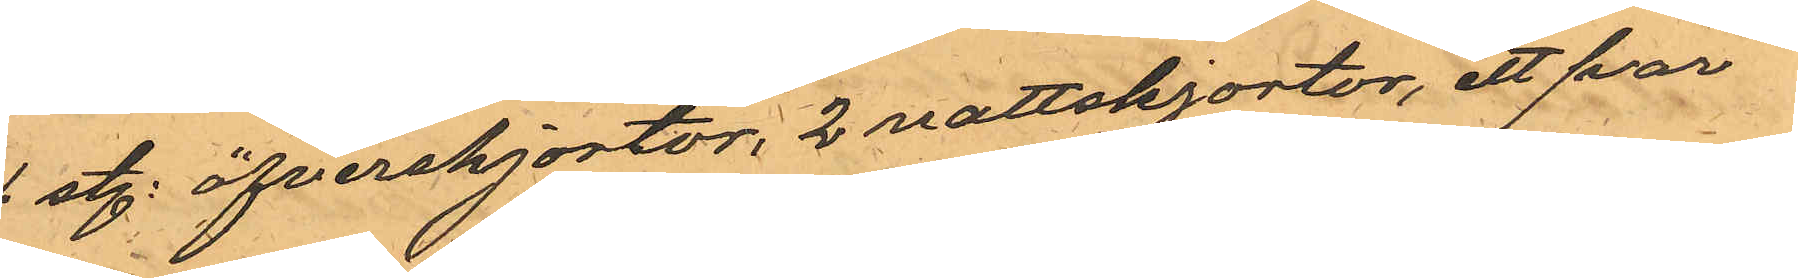4 st. öfverskjortor, 2 nattskjortor, ett par
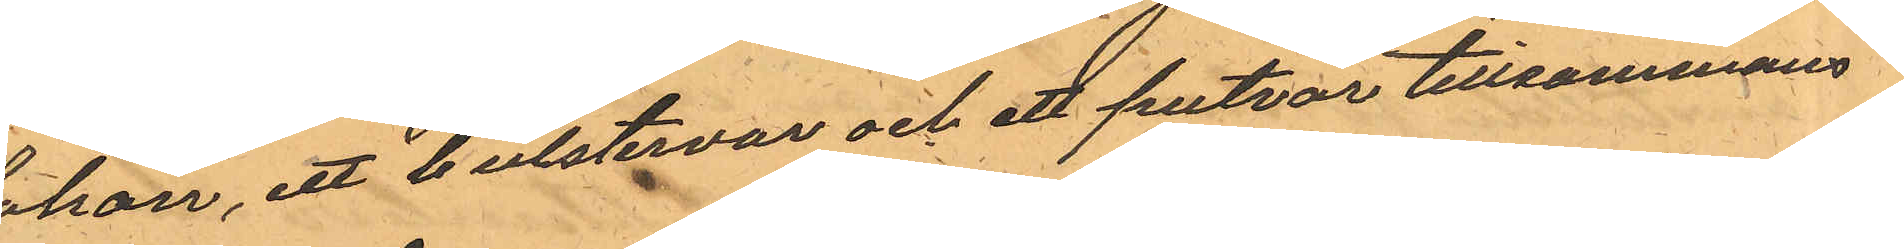lakan, ett bulstervar och ett putvar tillsammans
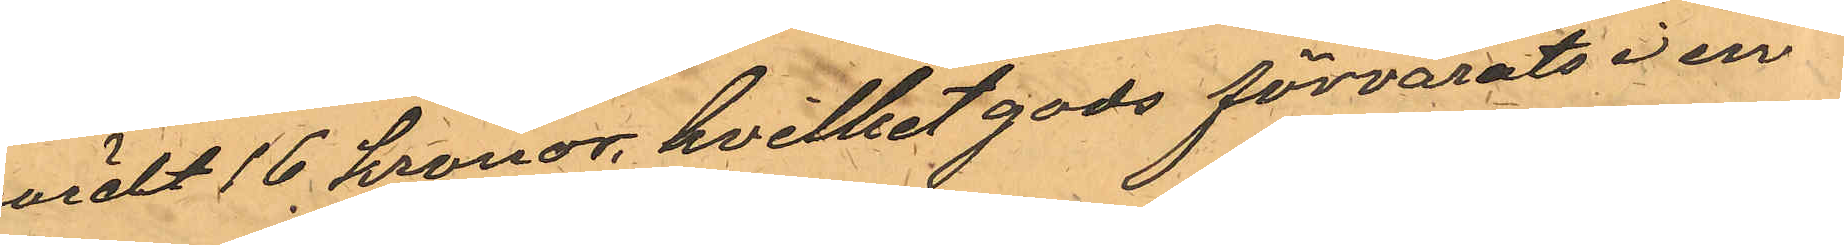värdt 16 kronor, hvilket gods förvarats i en
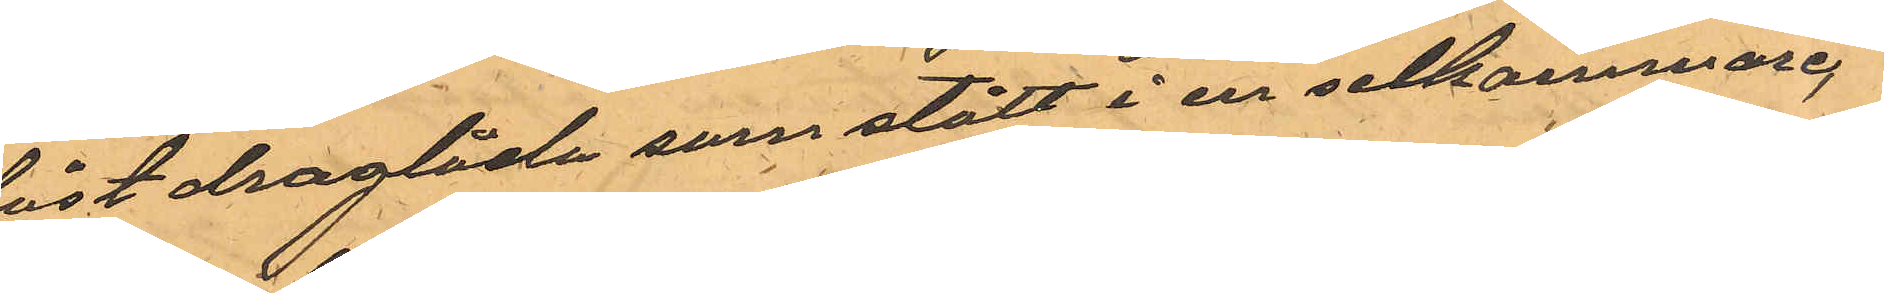låst draglåda som stått i en selkammare,
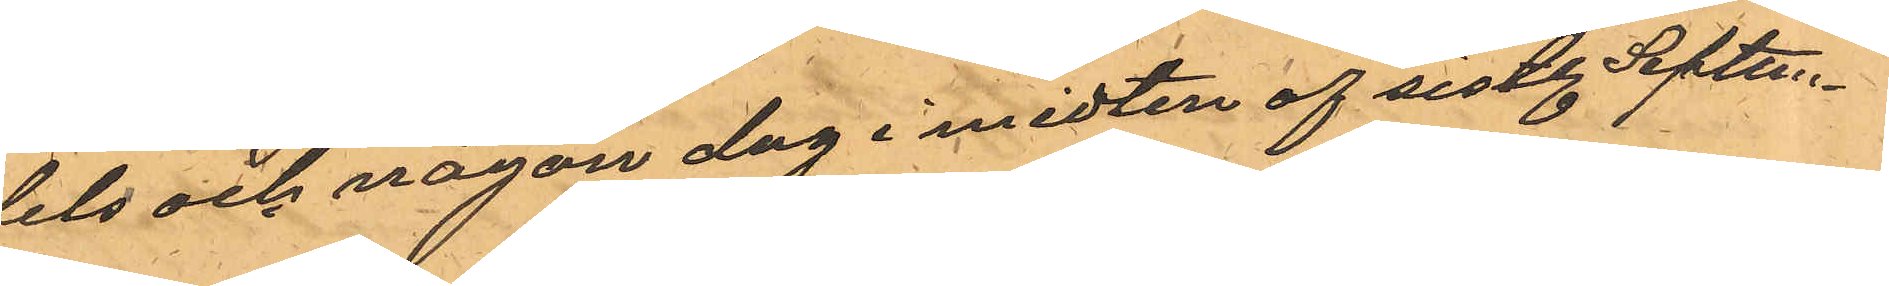dels och någon dag i midten af sistl. Septem¬
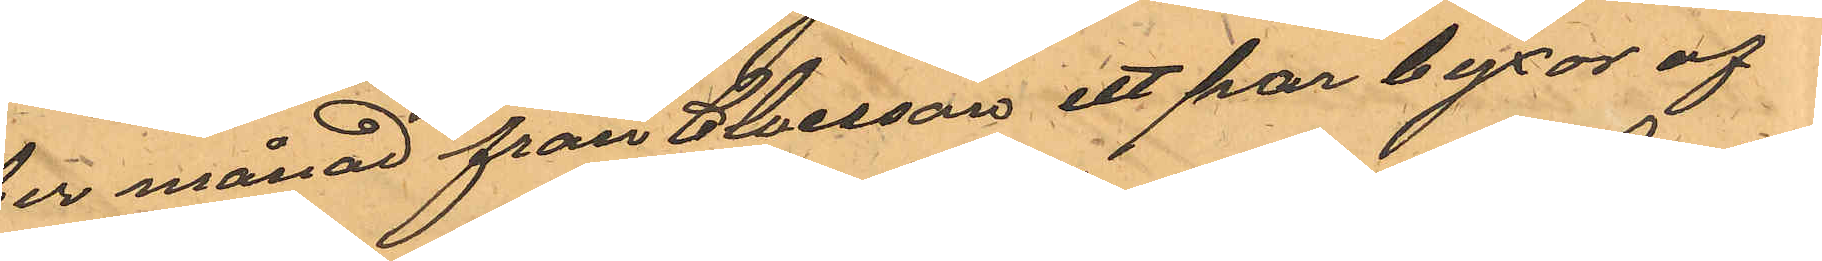ber månad från Claesson ett par byxor af
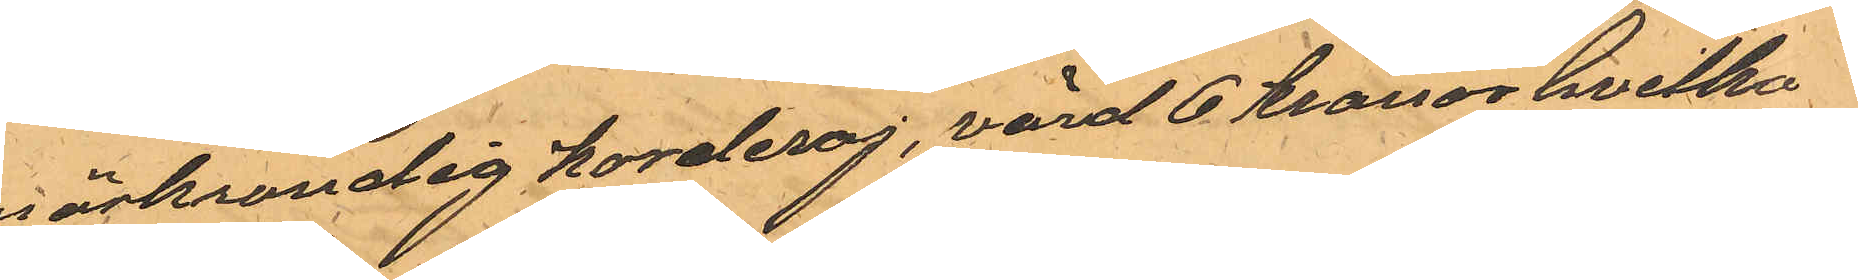mörkrandig korderoj, värd 6 Kronor hvilka
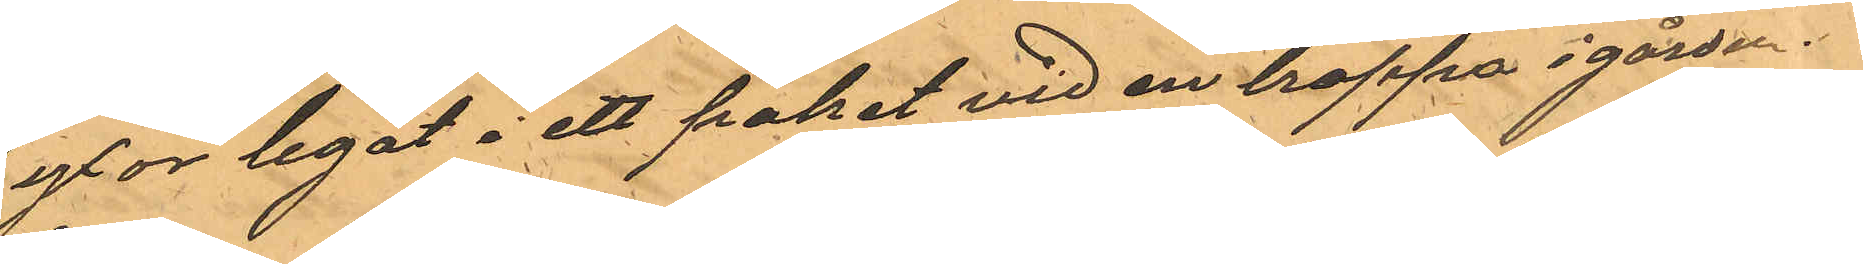byxor legat i ett paket vid en trappa i gården.
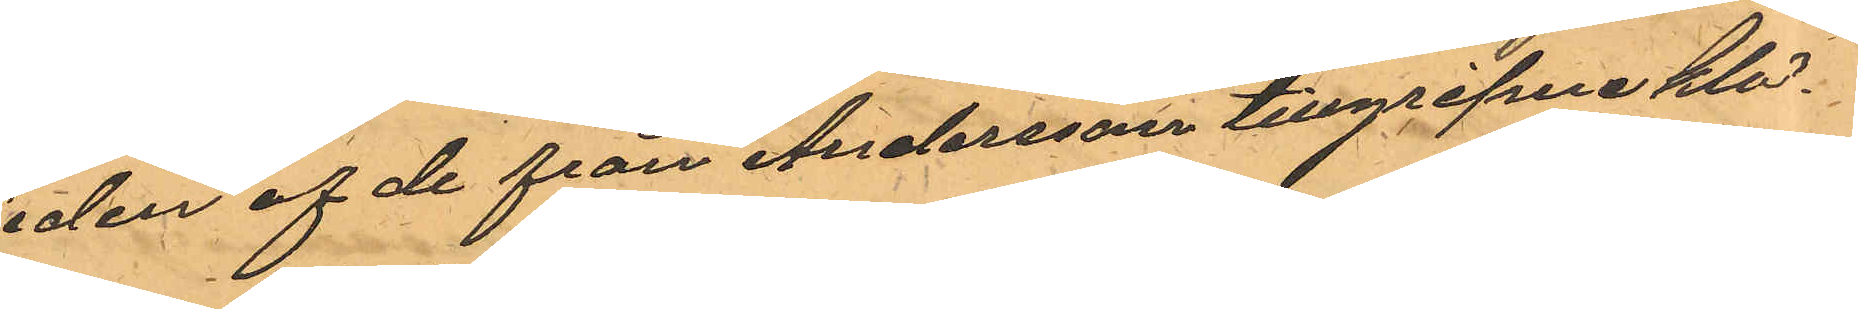Sedan af de från Andersson tillgripne klä¬
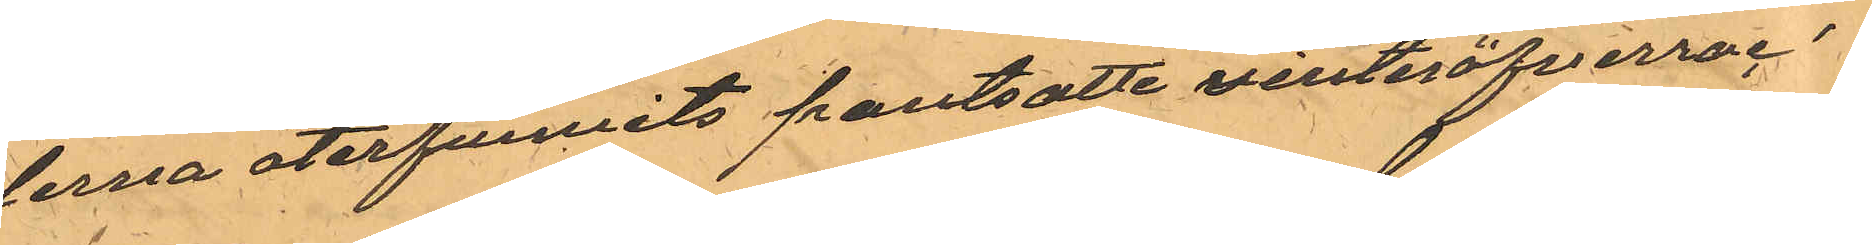derna återfunnits pantsatte vinteröfverroc¬
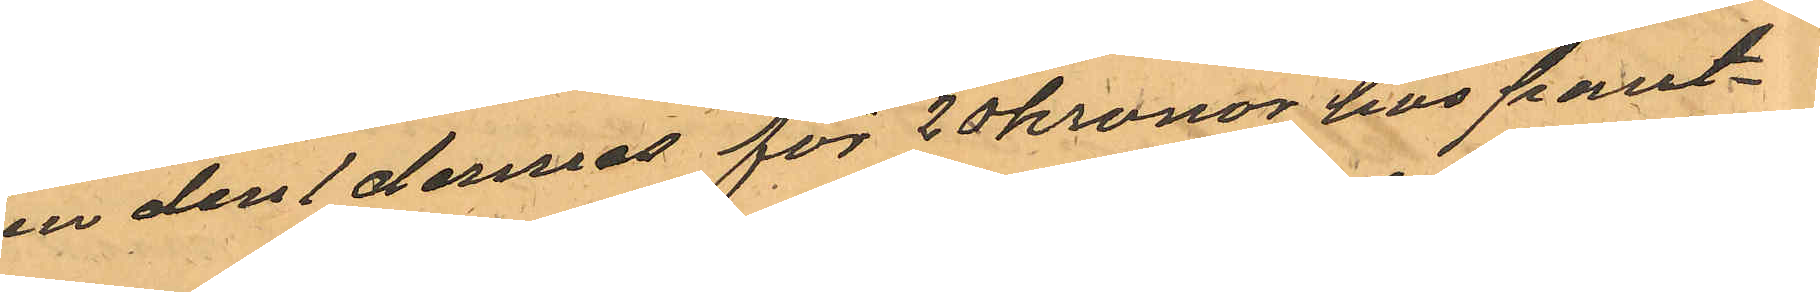ken den 1 dennes för 20 kronor hos pant¬
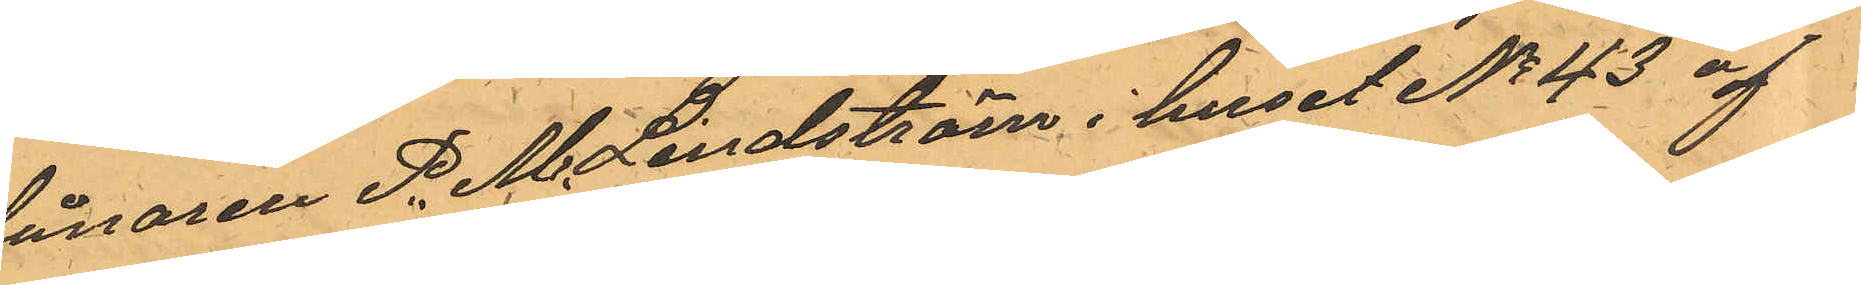lånaren P. M. Lindström i huset No 43 af
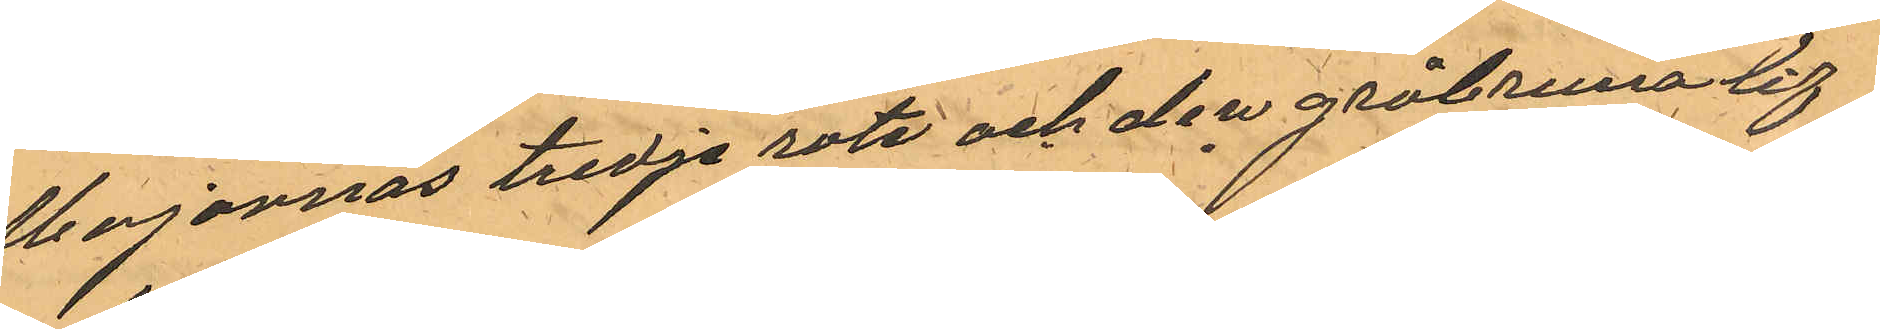Majornas tredje rote och den gråbruna lif¬
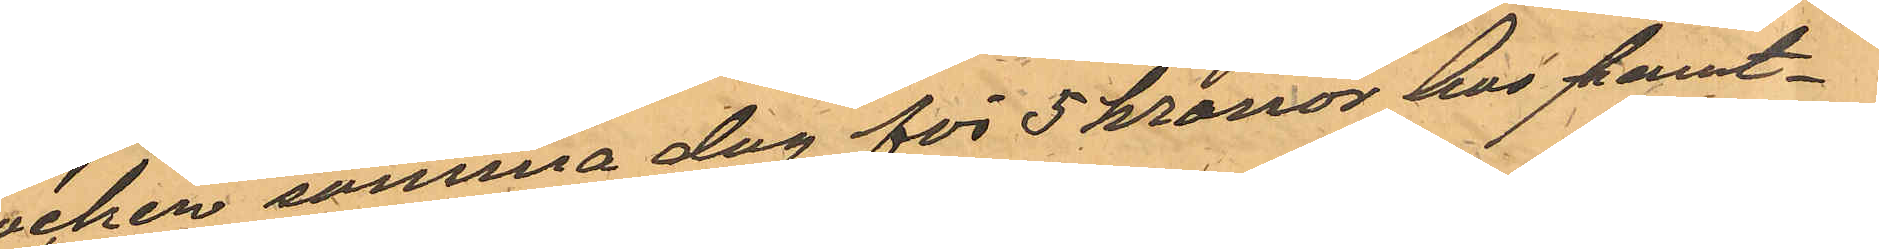rocken samma dag för 5 kronor hos pant¬
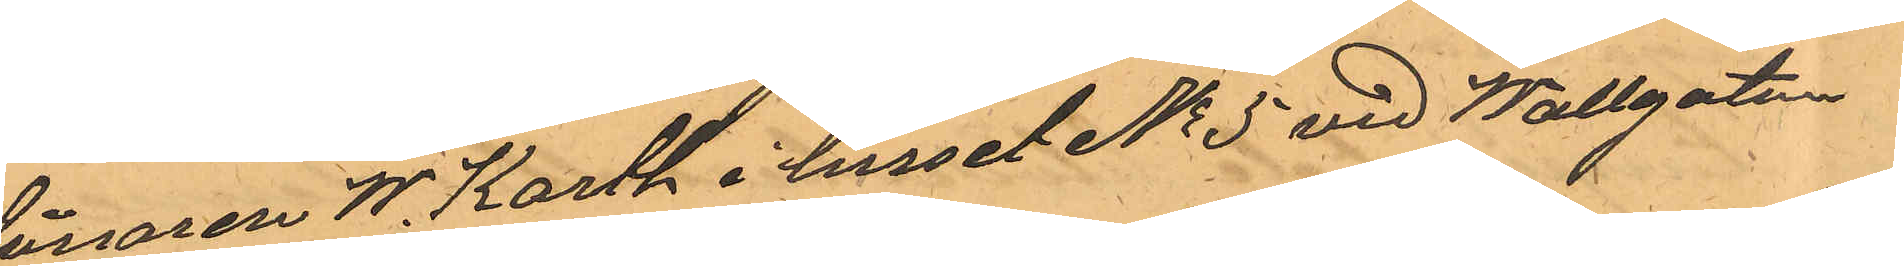lånaren W. Karth i huset No 5 vid Wallgatan
